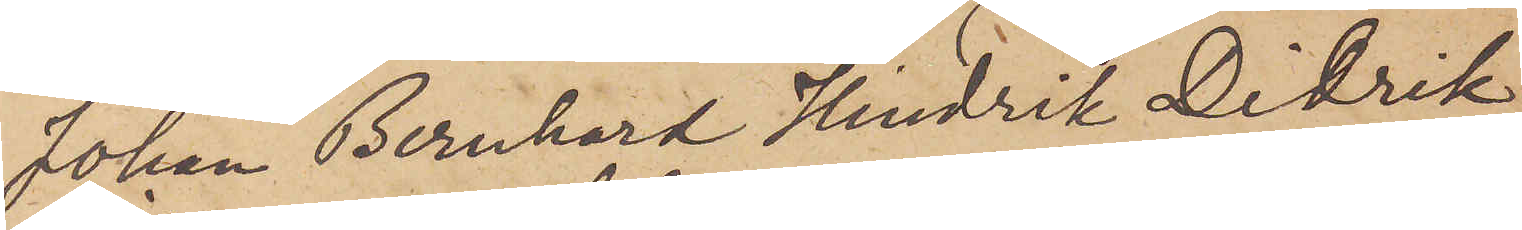Johan Bernhard Hindrik Didrik
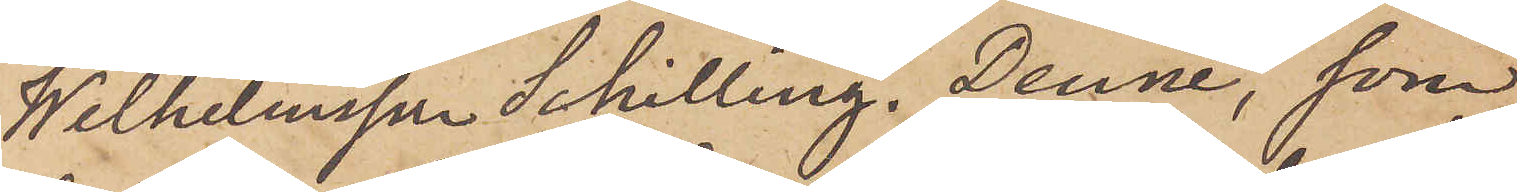Wilhelmsson Schilling. Denne, som
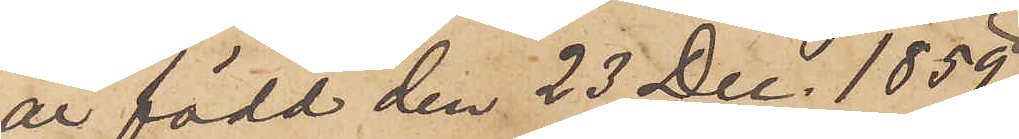är född den 23 Dec. 1859
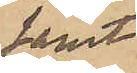samt
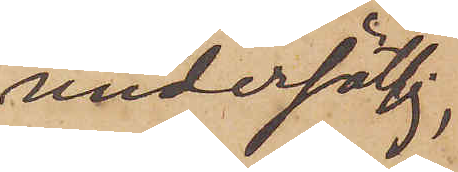undersättsig,
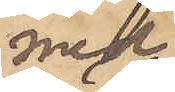med
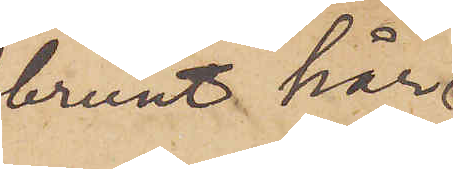brunt hår
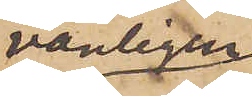vanligen
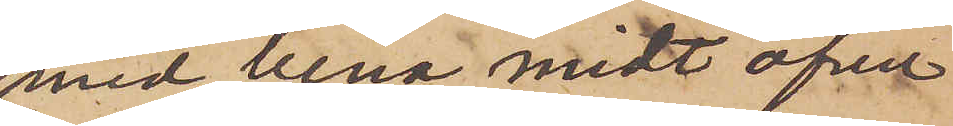med bena midt öfver
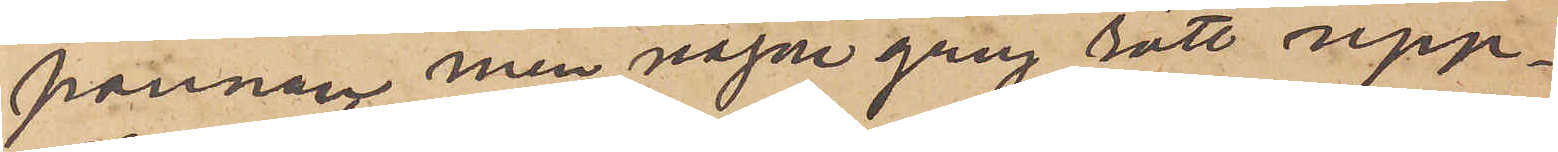pannan men någon gång rätt upp¬
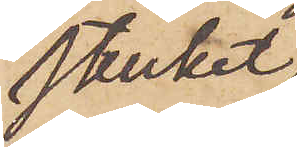strucket
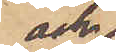och
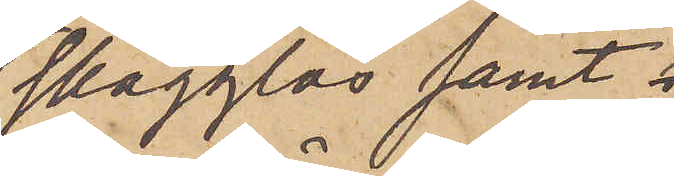slägglös samt 
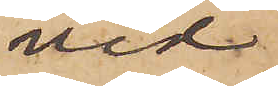vid
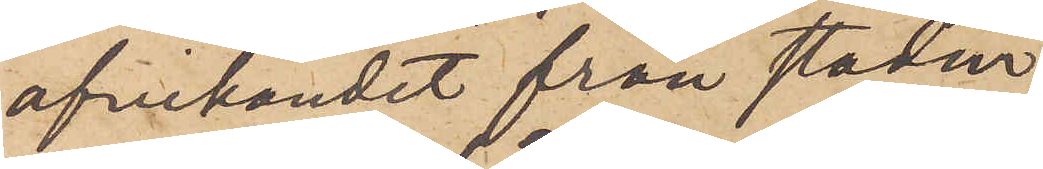afvikandet från staden
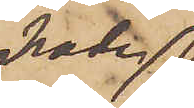hade
